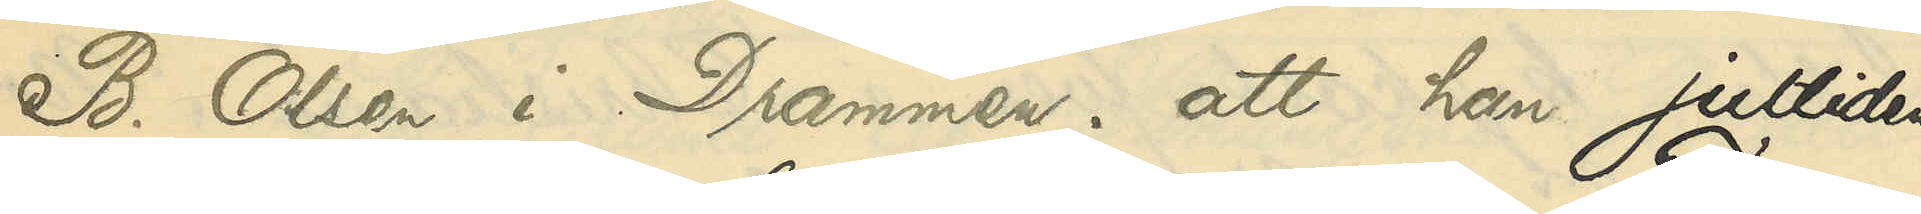B. Olsen i Drammen; att han jultiden
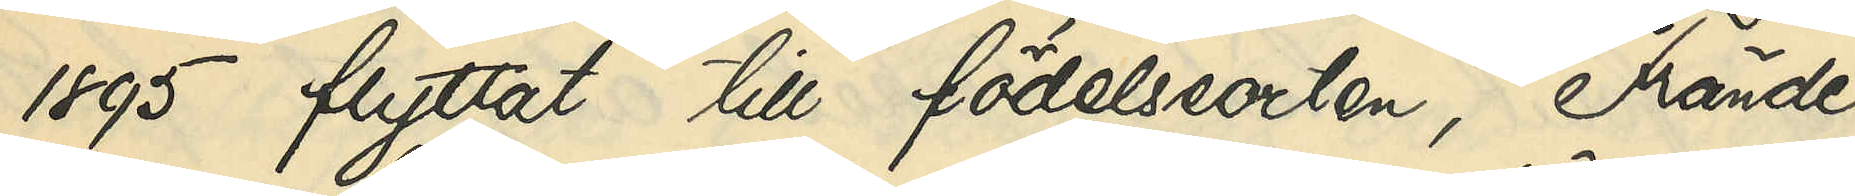1895 flyttat till födelseorten, Frände¬
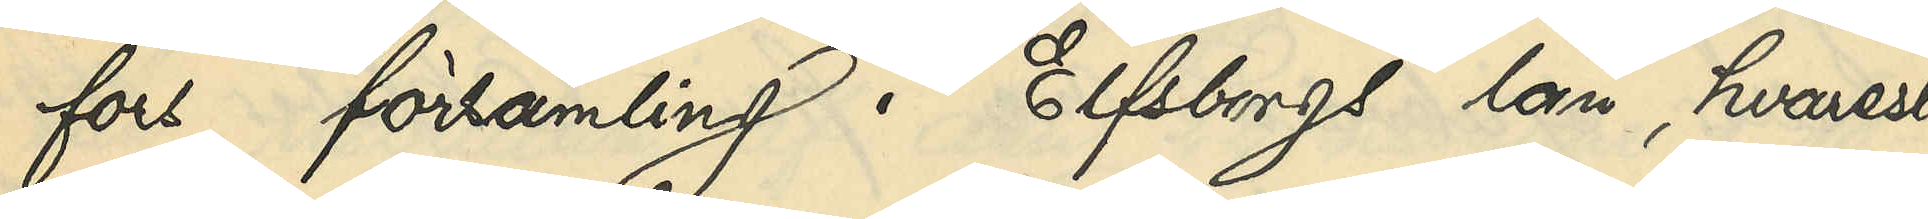fors församling i Elfsborgs län, hvarest
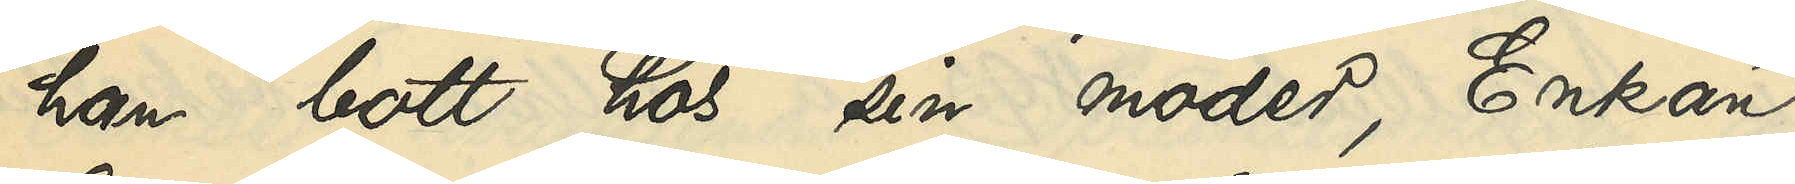han bott hos sin moder, Enkan
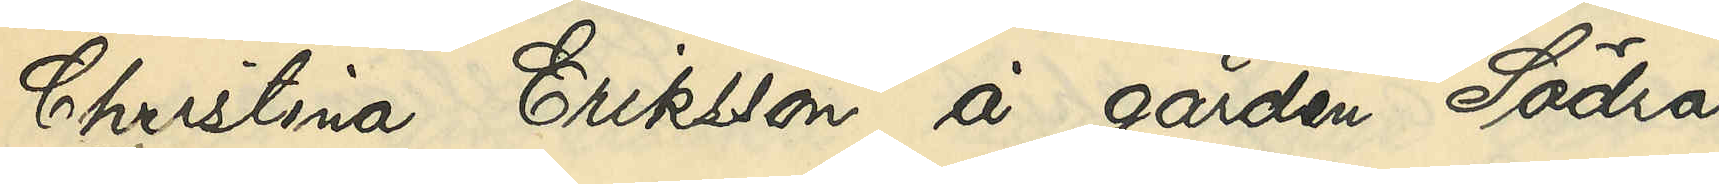Christina Eriksson å gården Södra 
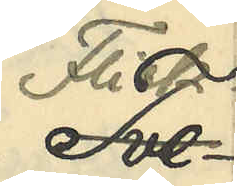Flick¬
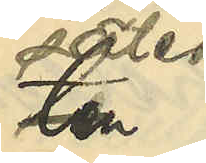säter
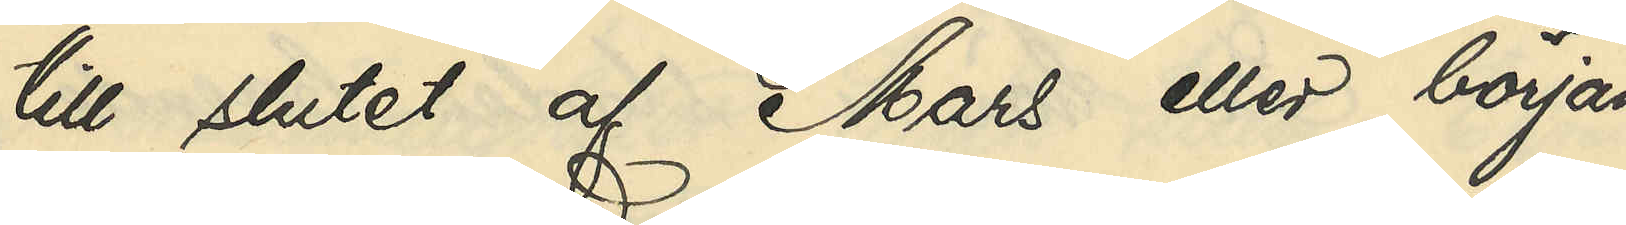till slutet af Mars eller början
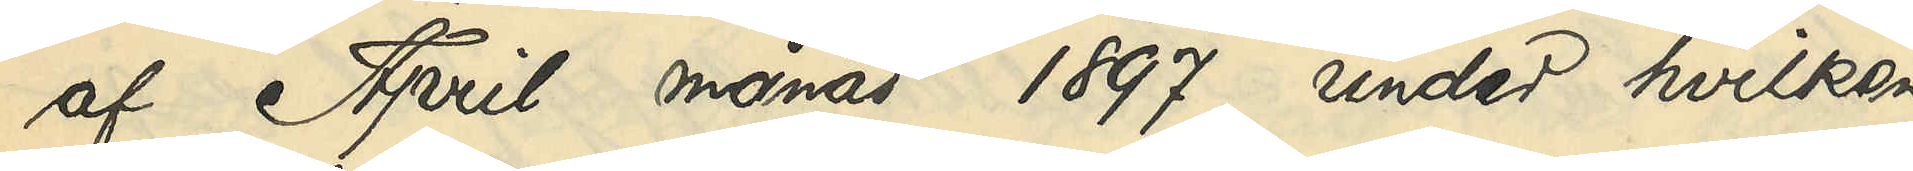af April månad 1897, under hvilken
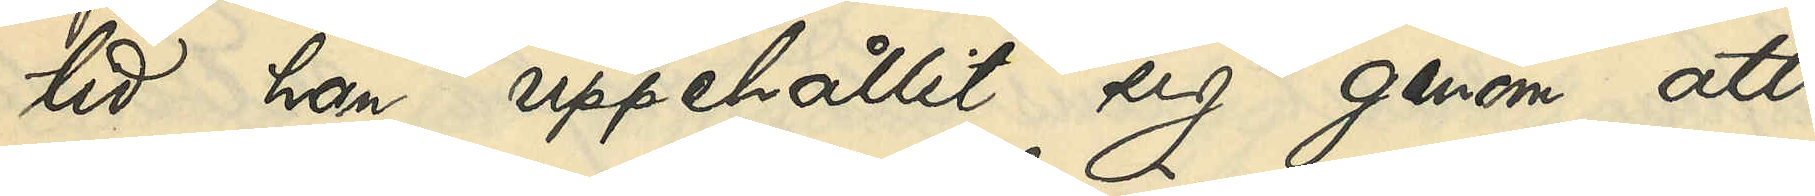tid han uppehållit sig genom att
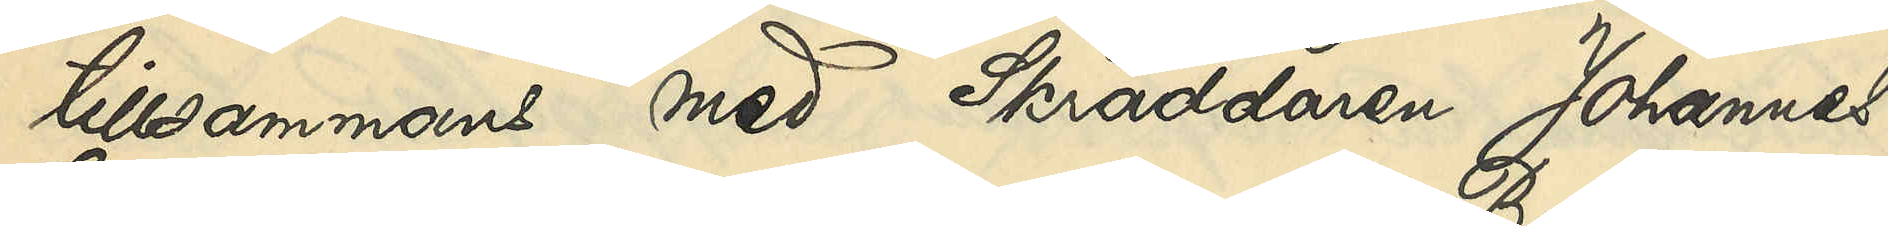tillsammans med Skräddaren Johannes
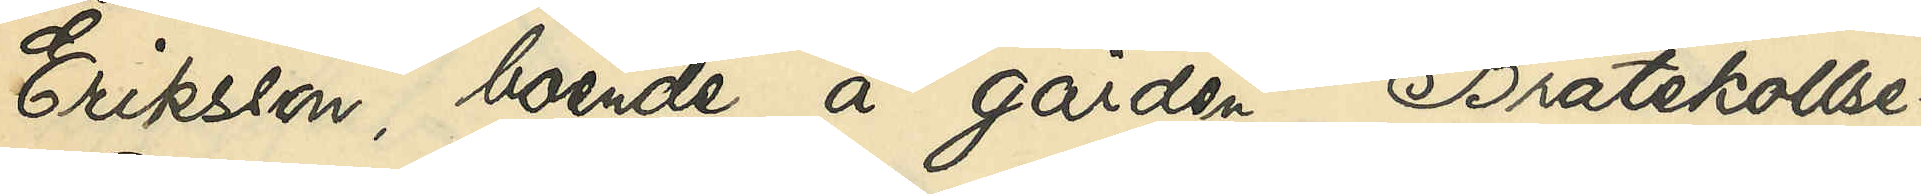Eriksson, boende å gården Bråtekollse¬
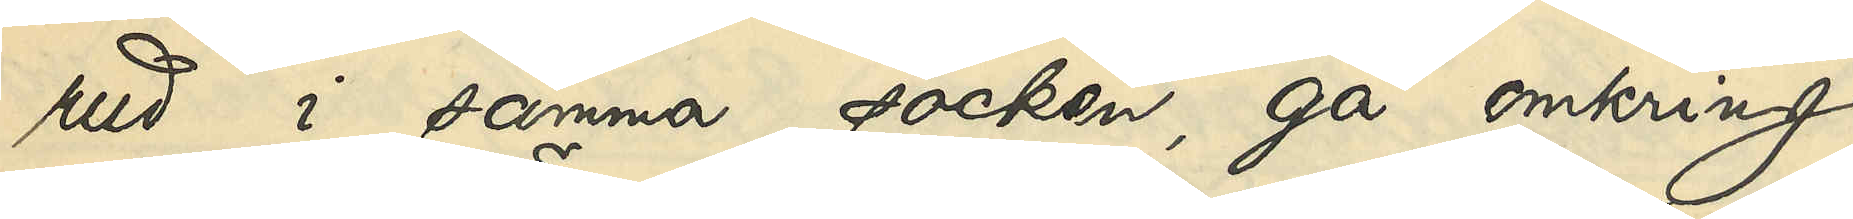rud i samma socken, gå omkring
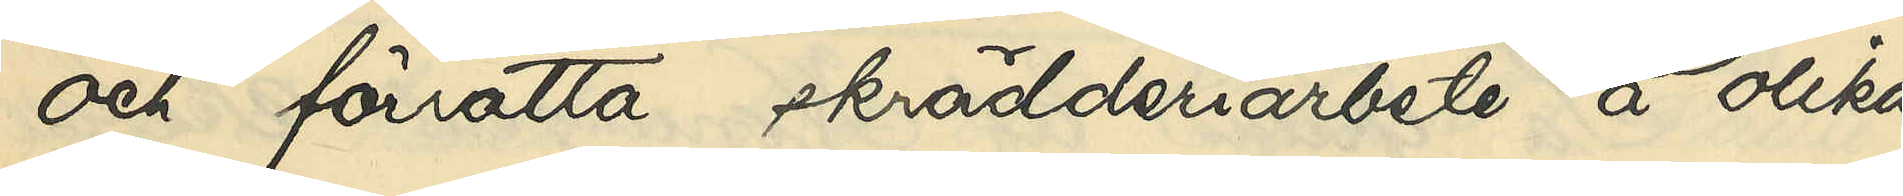och förrätta skrädderiarbete å olika
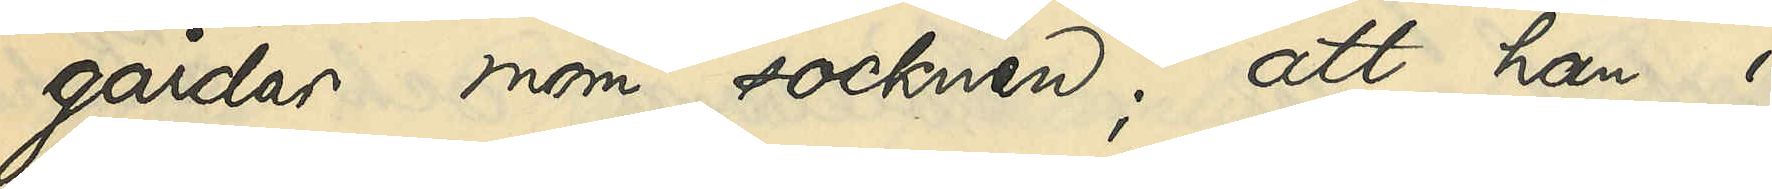gårdar inom socknen; att han i
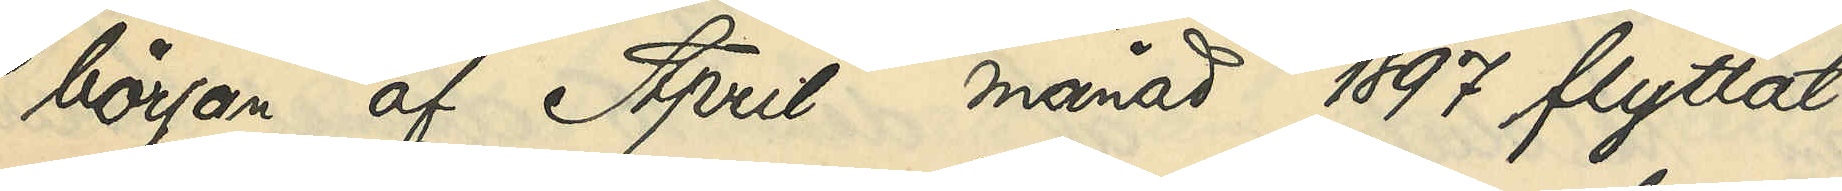början af April månad 1897 flyttat
